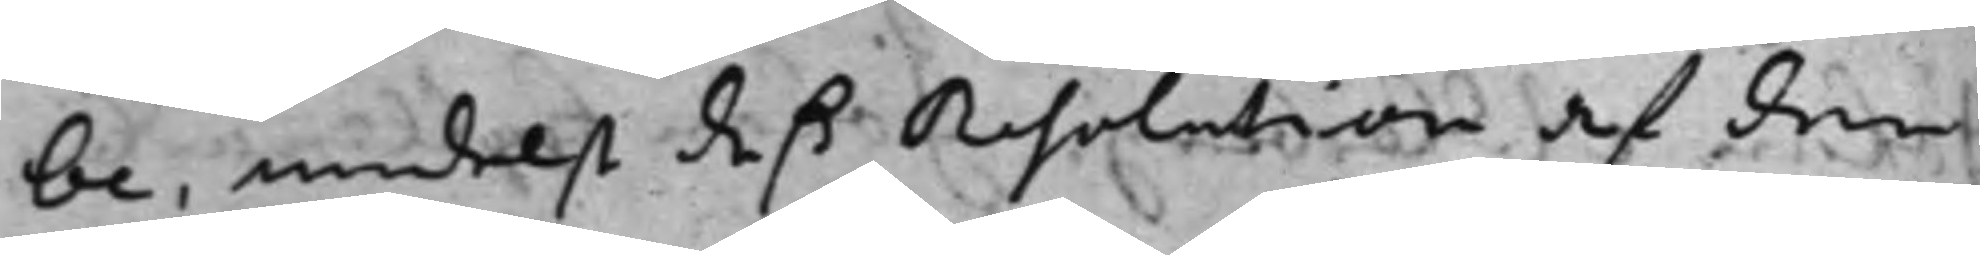be, medelst deß Resolution af den
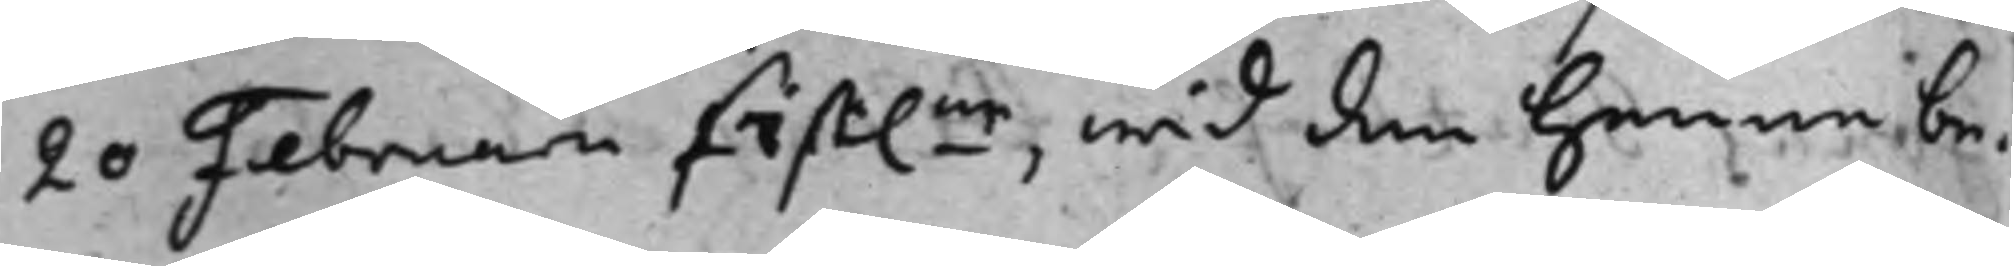20 Februarii sist.ne, wid den henne be¬
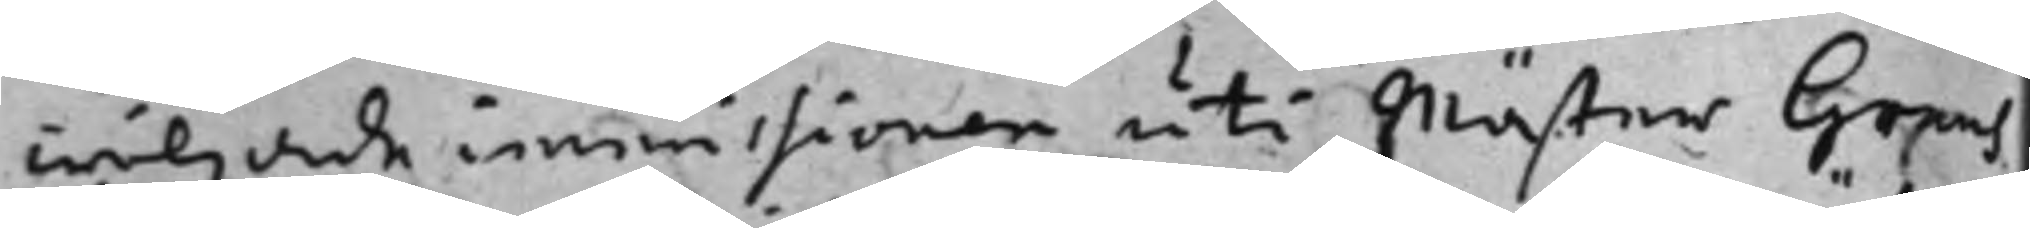wiljade immissionen uti Mäster Graus
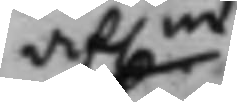af.ne
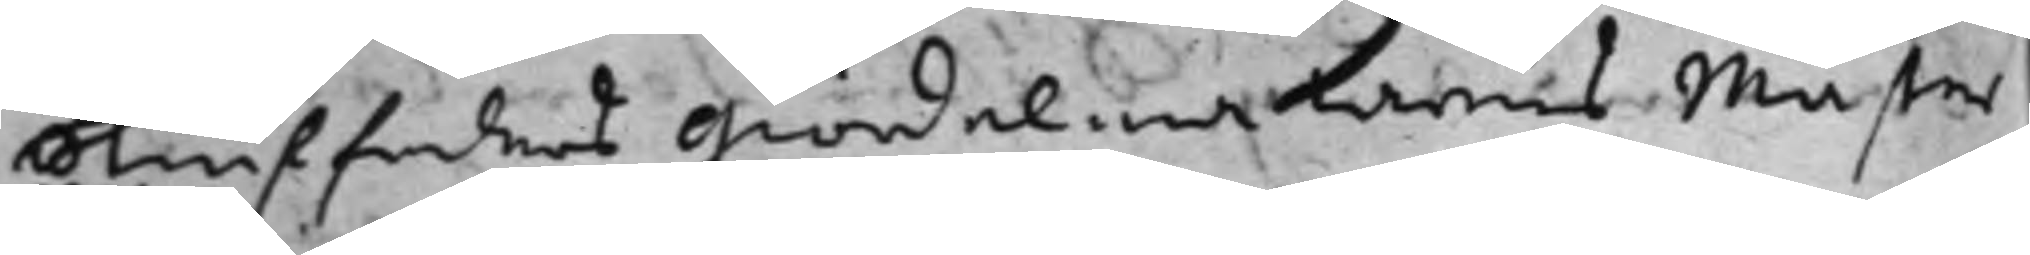stiuffaders giördelmakarens Mäster
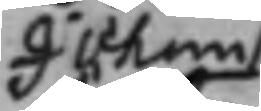Johan
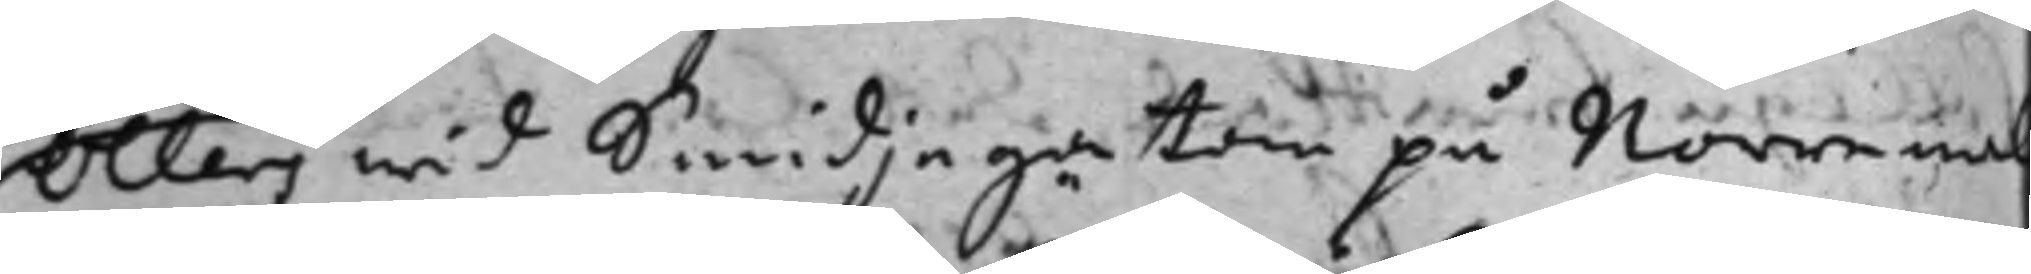Öllers wid Smidjegatan på Norre mal
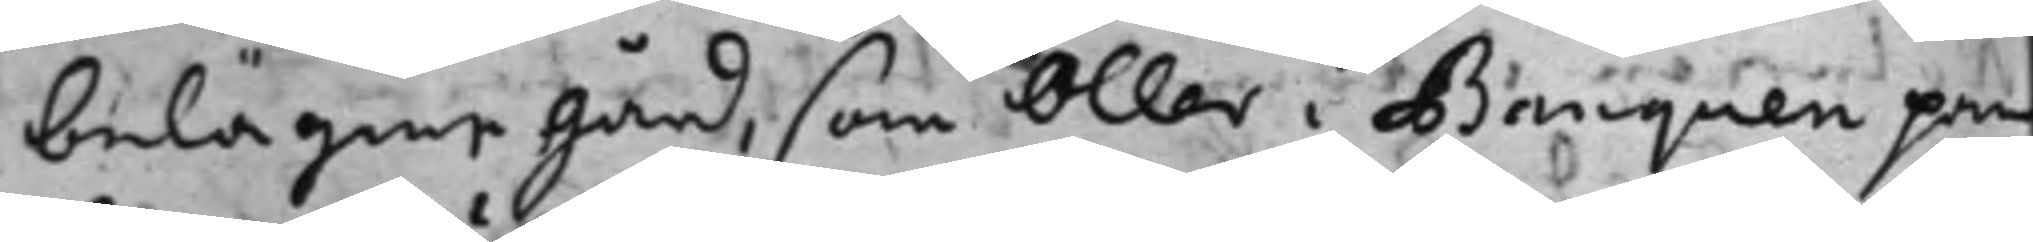belägene gård, som Öller i Banquen pan
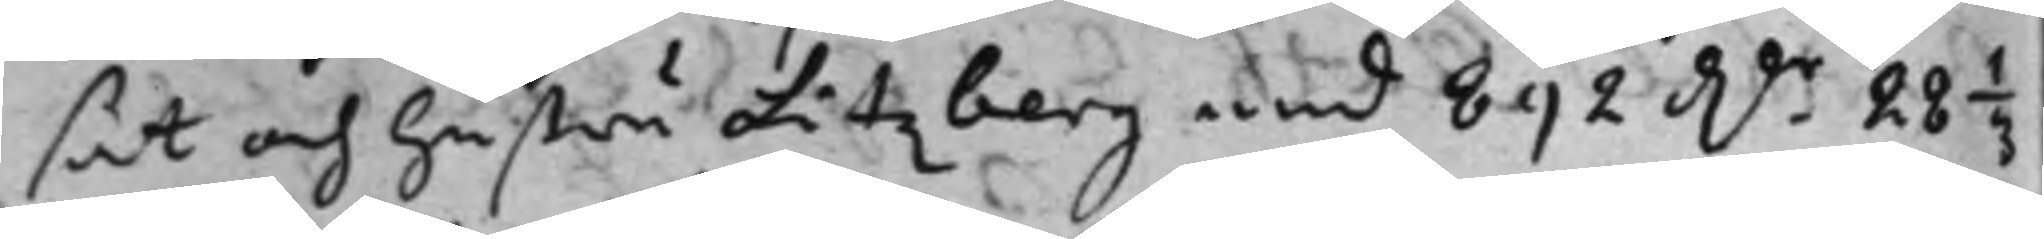sat och hustru Litzberg med 892 Dr. 28 1/3
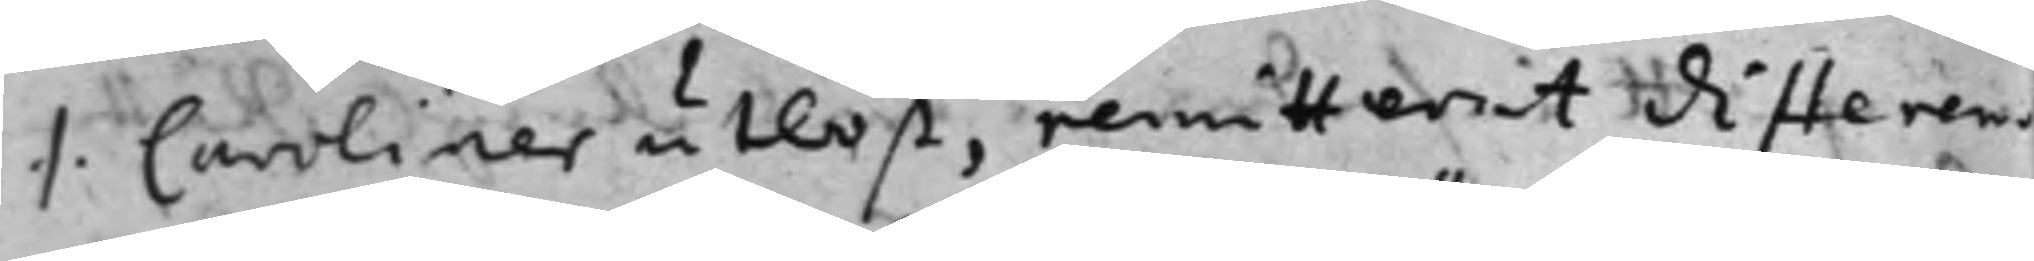./. Caroliner utlöst, remitterat differen¬
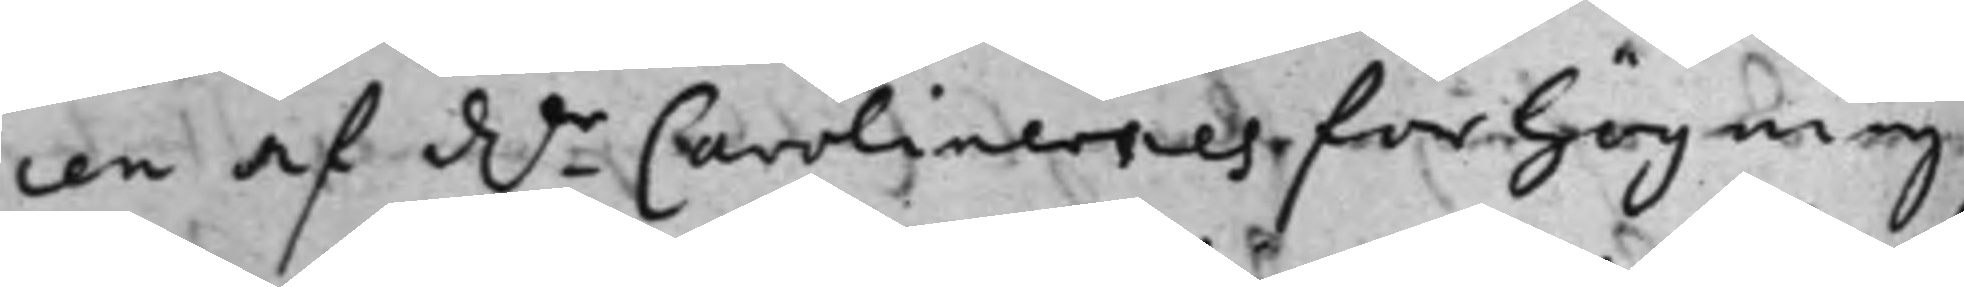cen af Dr- Carolinernes förhögning
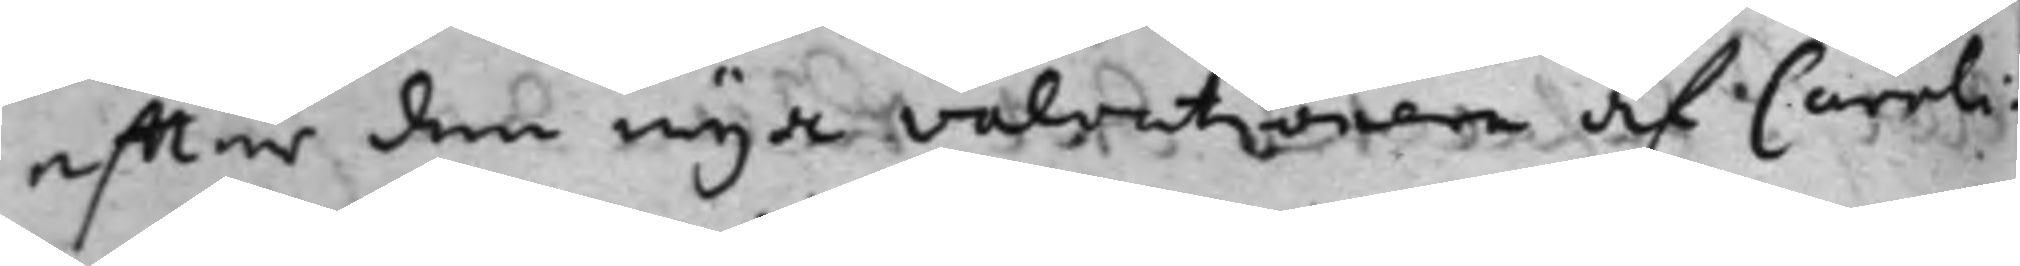effter den nya valuationen af Caroli¬
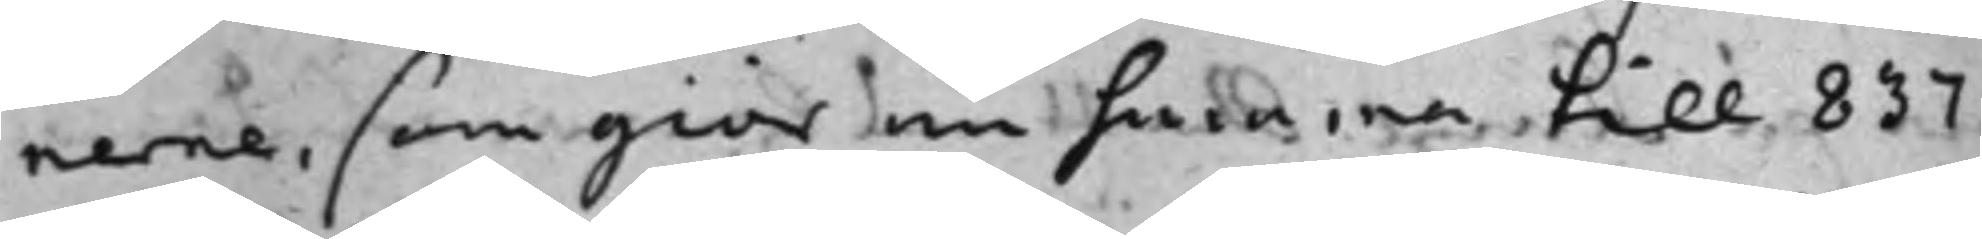nerne, som giör nu summa till 837
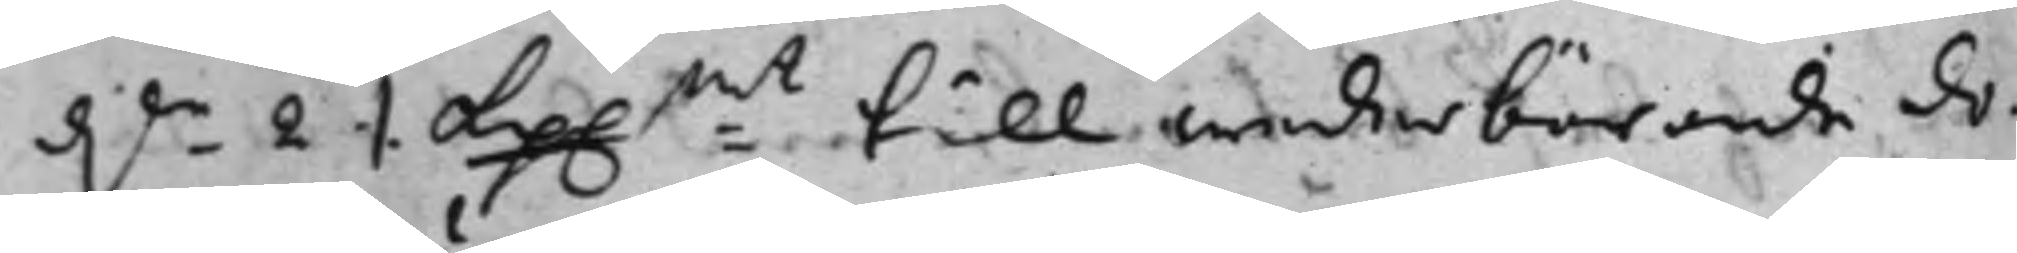Dr- 2 ./. kp..mt = till wederbörande do¬
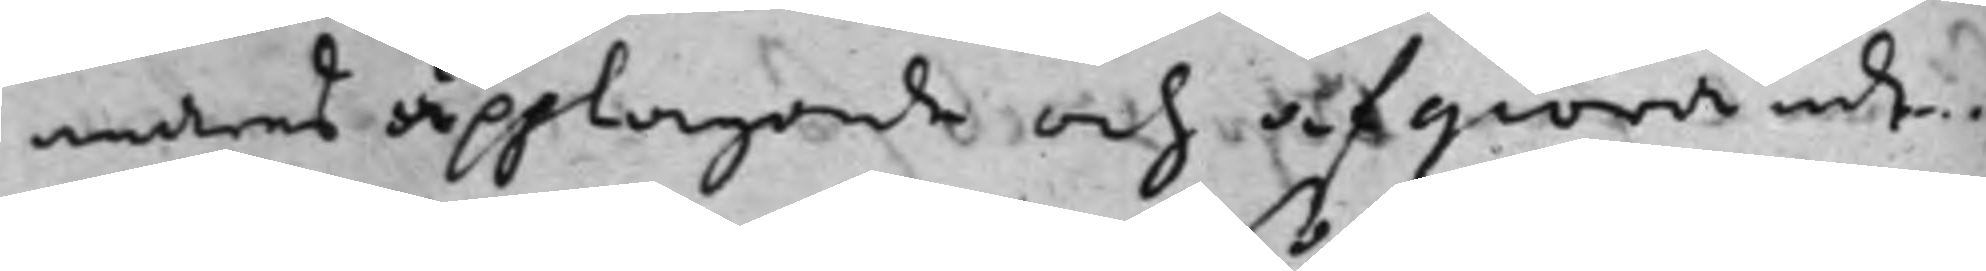mares upptagande och afgiörande.
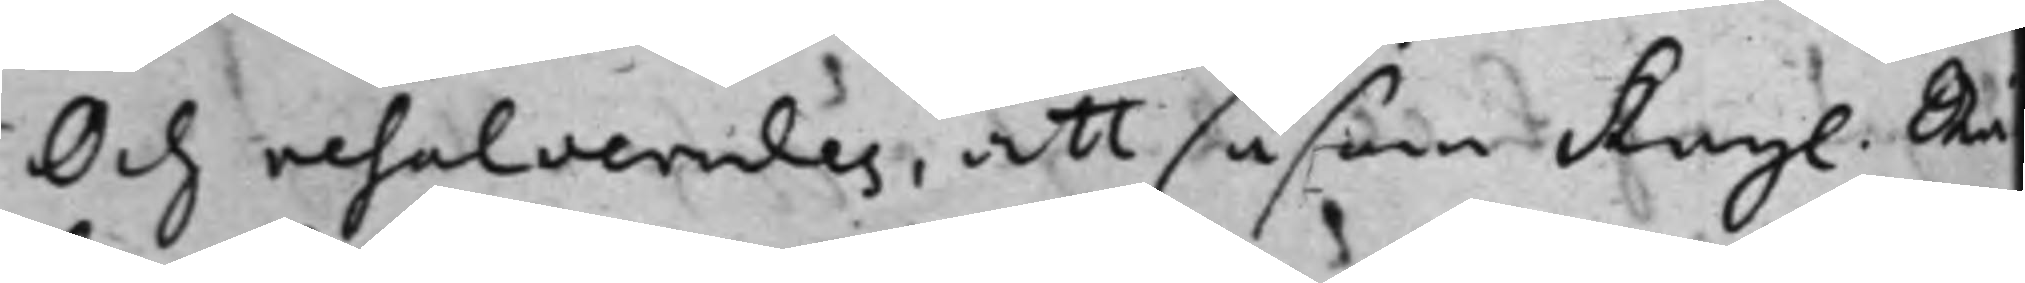Och resolverades, att såsom Kngl. Rä¬
